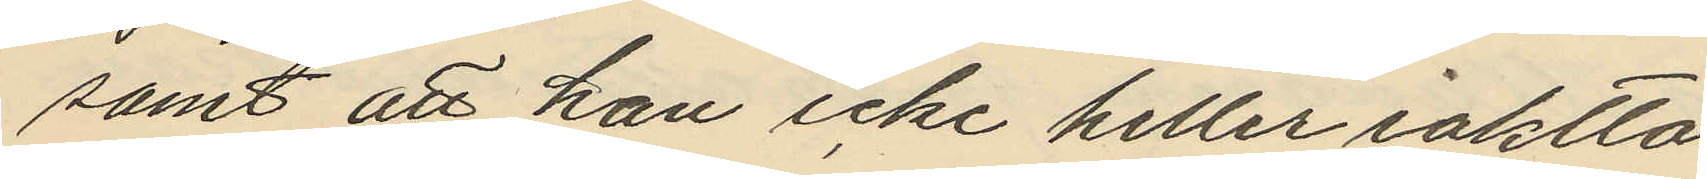samt att han icke heller iaktta¬
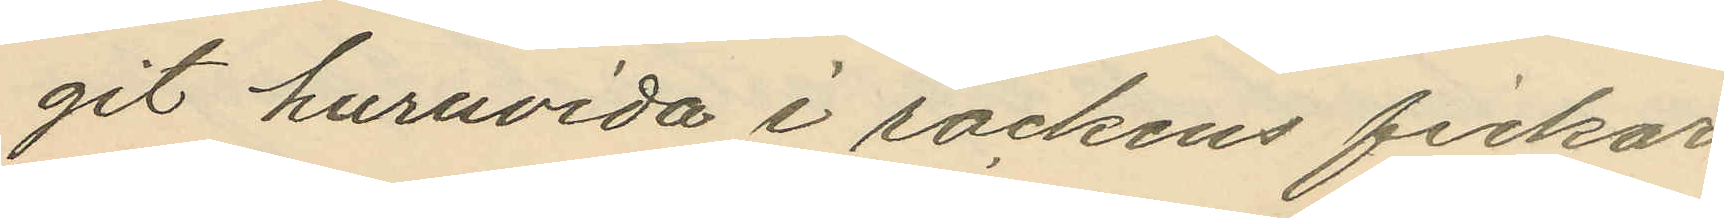git huruvida i rockens fickor
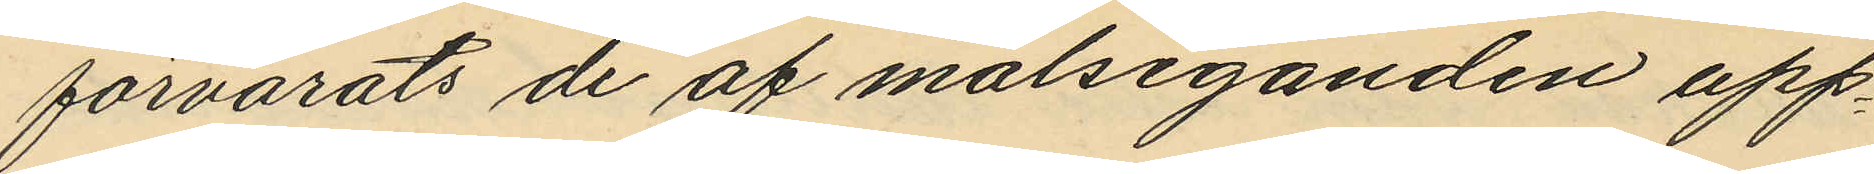förvarats de af målseganden upp¬
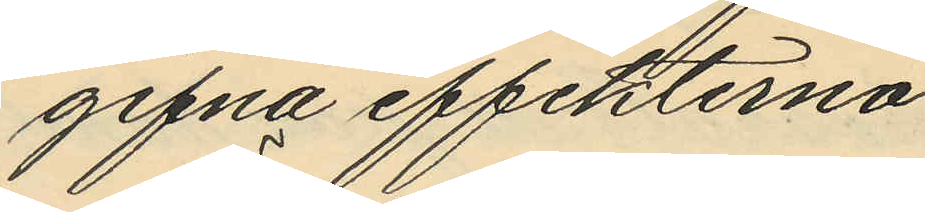gifna effekterna.
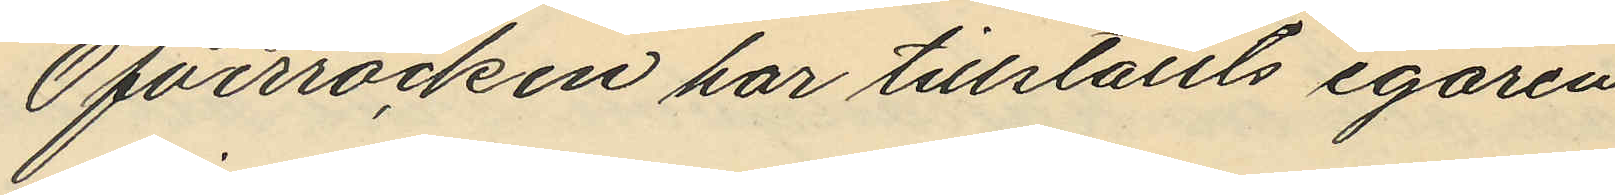Öfverrocken har tillställts egaren
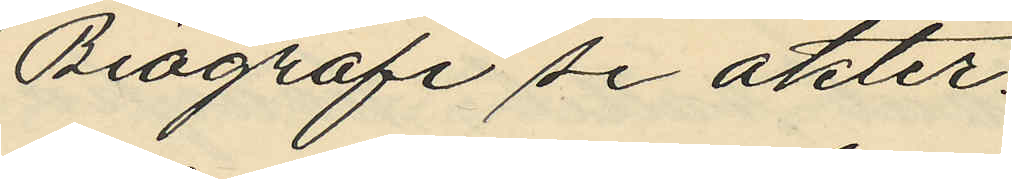Biografi se akter.
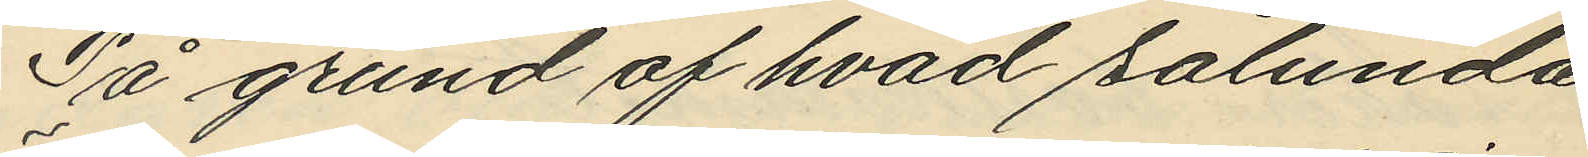På grund af hvad sålunda
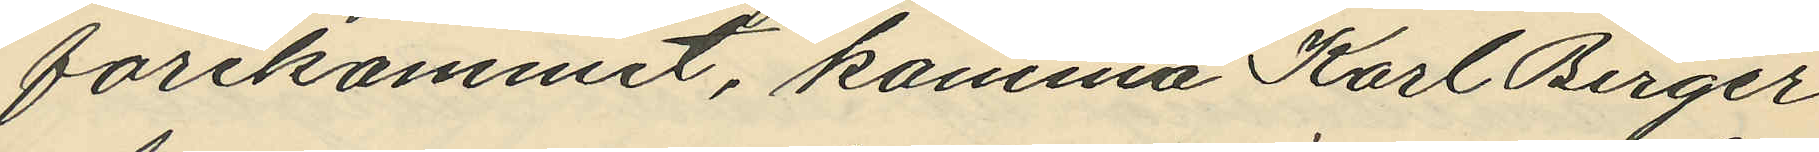förekommit, komma Karl Birger
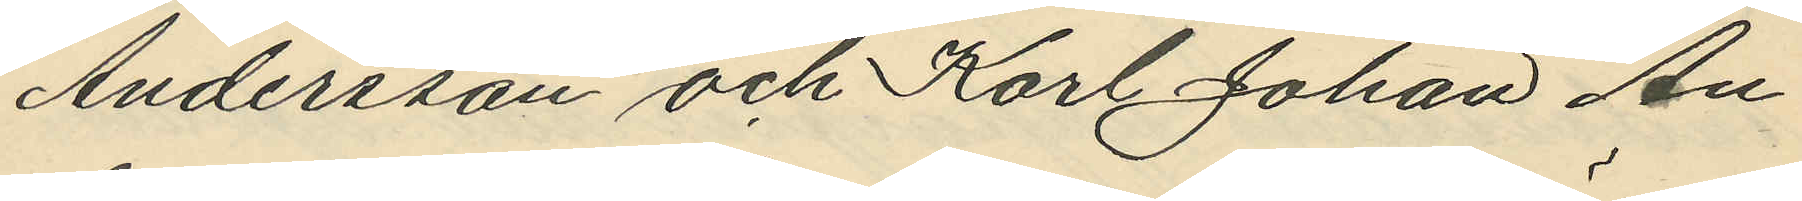Andersson och Karl Johan An¬
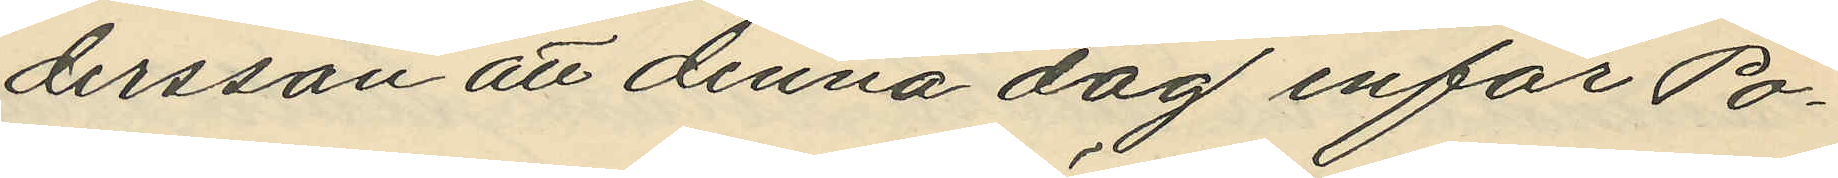dersson att denna dag inför Po¬
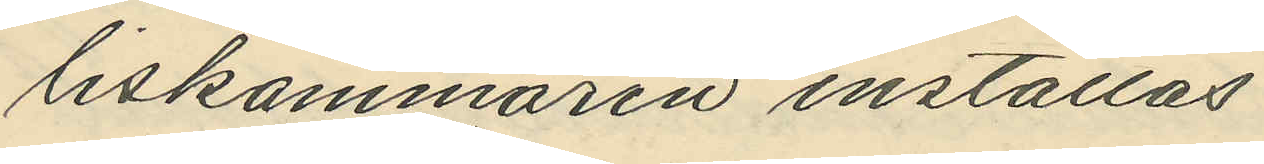liskammaren inställas.
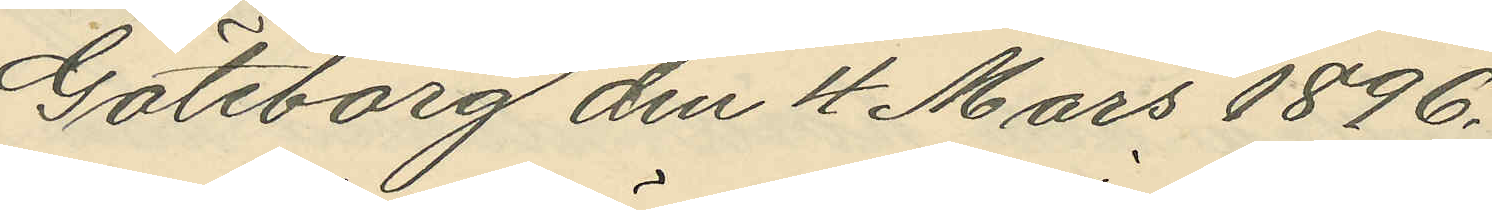Göteborg den 4 Mars 1896.
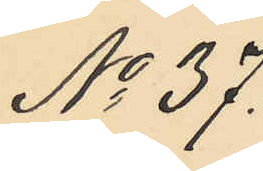No 37.
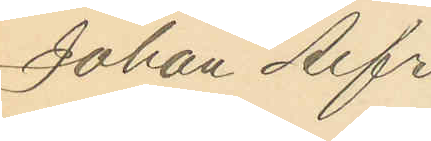Johan Alfr.
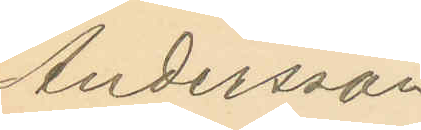Andersson
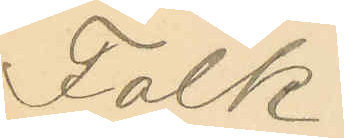Falk.
